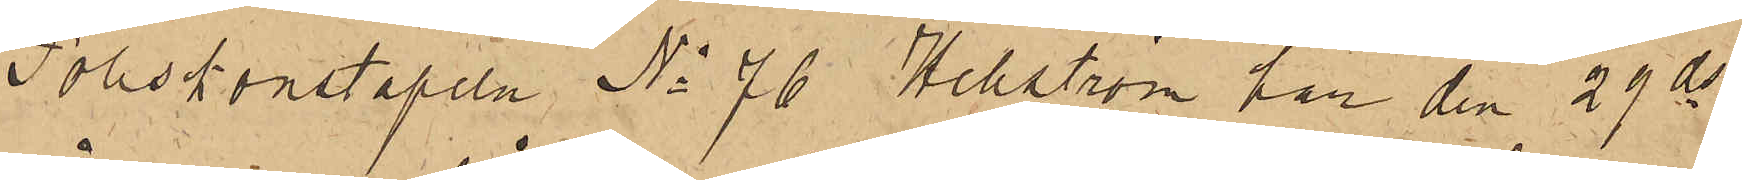Poliskonstapeln No 76 Hellström har den 29 ds
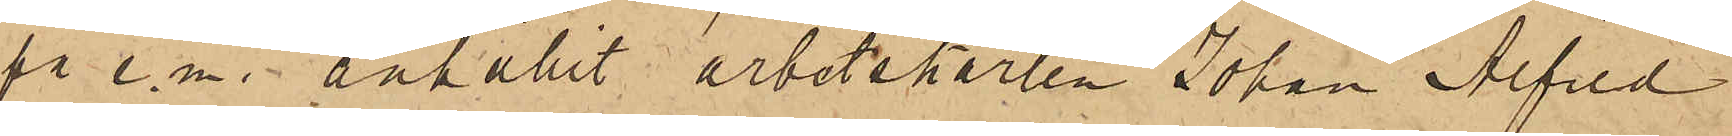på e.m. anhållit arbetskarlen Johan Alfred
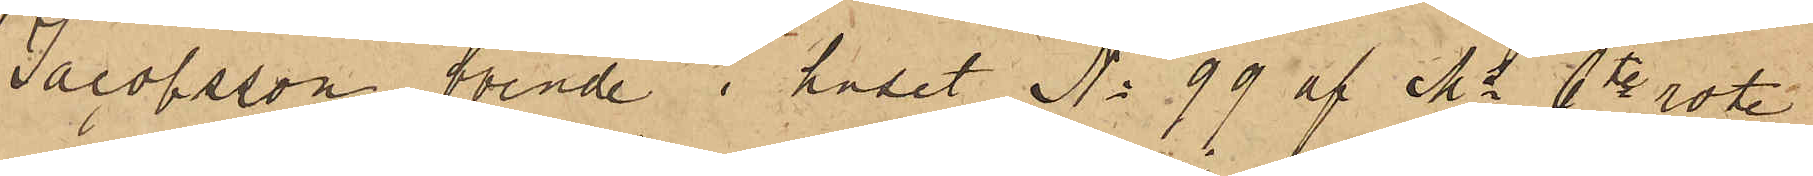Jacobsson, boende i huset No 99 af Ms 6te rote,
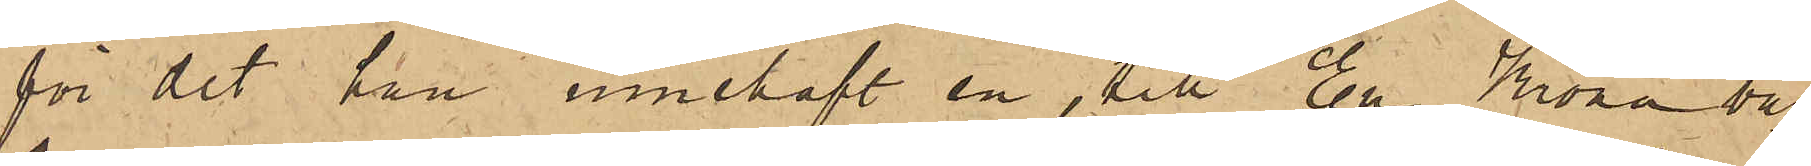för det han innehaft en, till En Krona vär¬
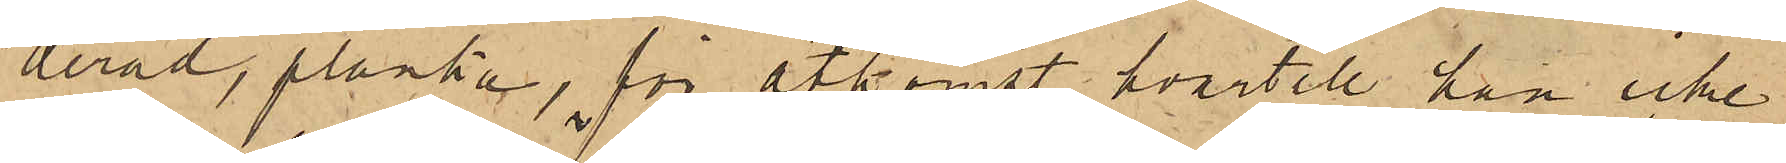derad, planka, för åtkomst hvartill han icke
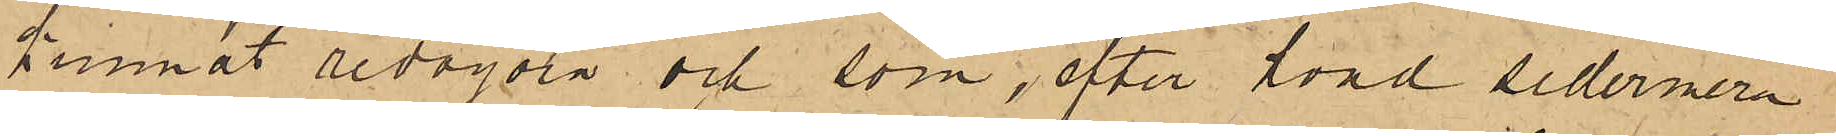kunnat redogöra och som, efter hvad sedermera
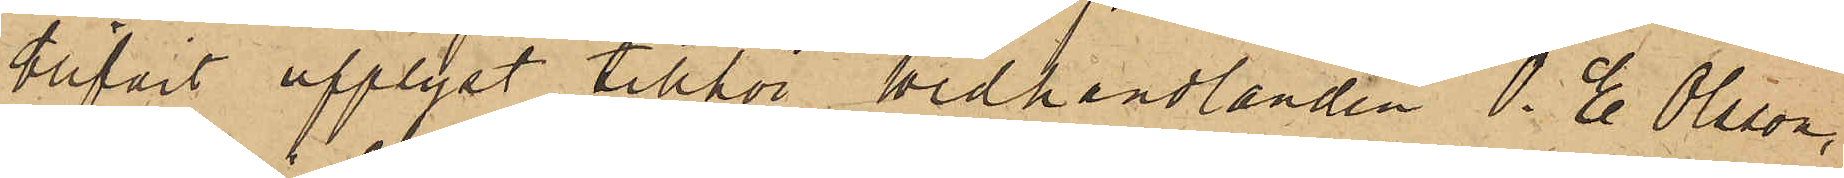blifvit upplyst, tillhör Wedhandlanden O. E. Olsson
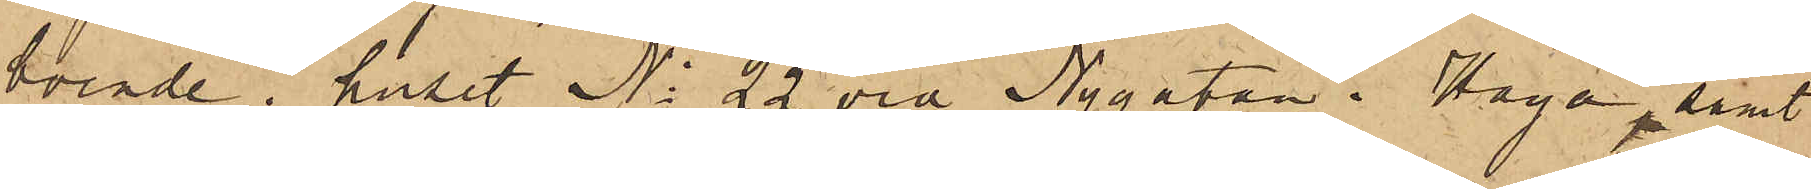boende i huset No 22 vid Nygatan i Haga, samt
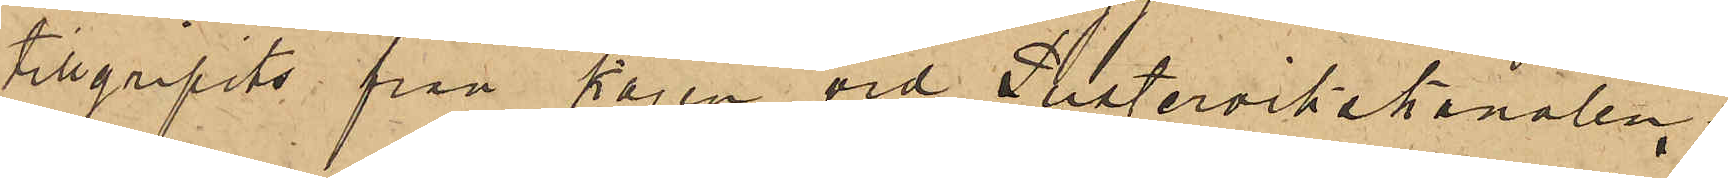tillgripits från kajen vid Pustervikskanalen.
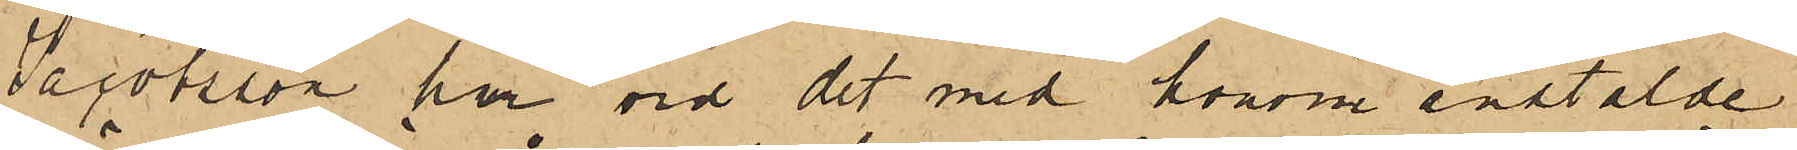Jacobsson har vid det med honom anstälde
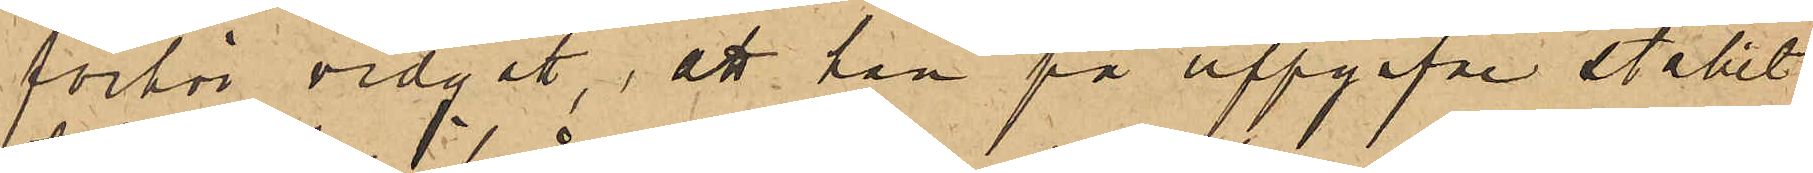förhör vidgått, att han på uppgifne stället
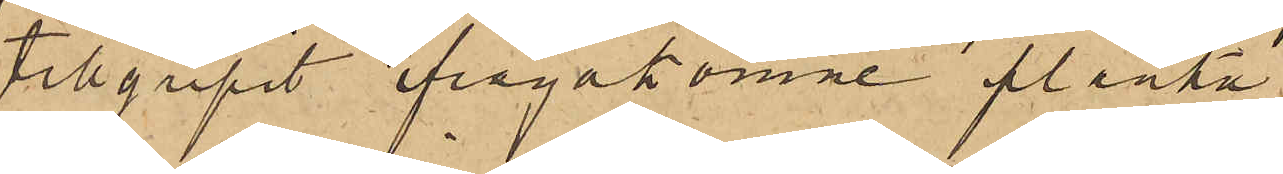tillgripit ifrågakomne planka
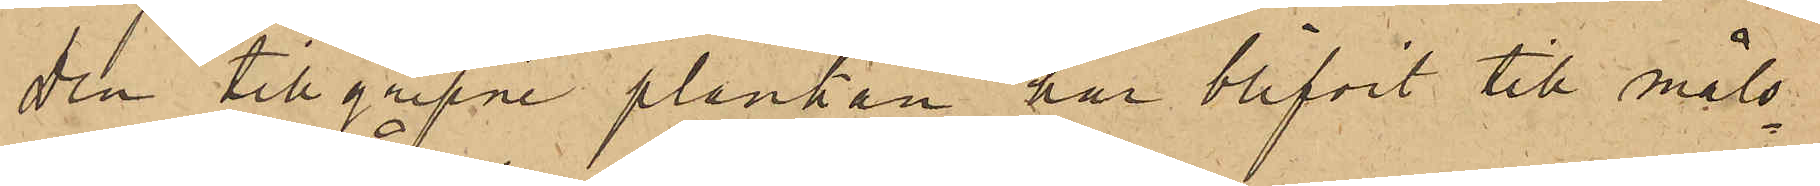Den tillgripne plankan har blifvit till måls¬
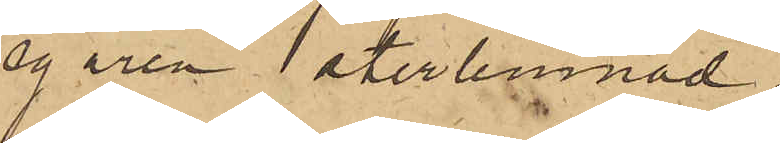egaren återlemnad.
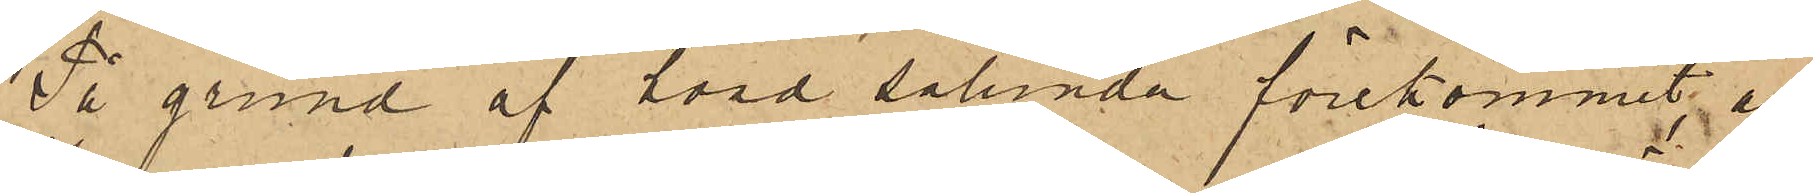På grund af hvad sålunda förekommit, är
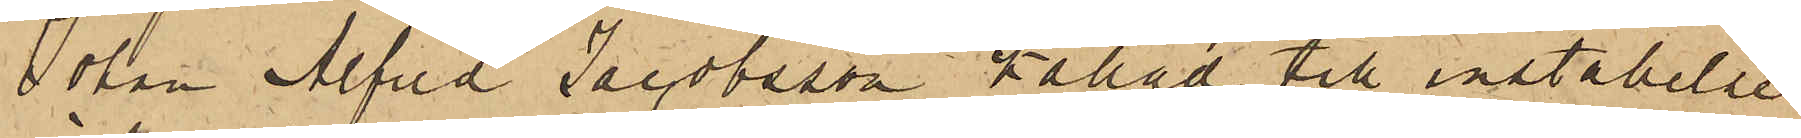Johan Alfred Jacobsson kallad till inställelse
